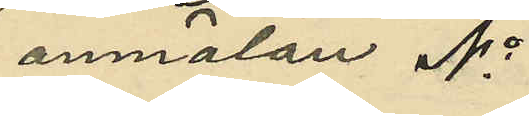anmälan No
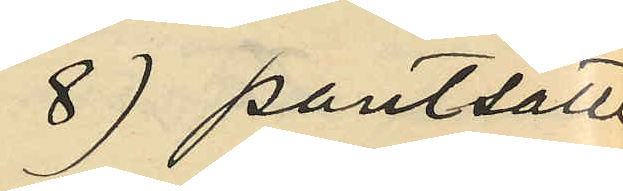8) pantsatt
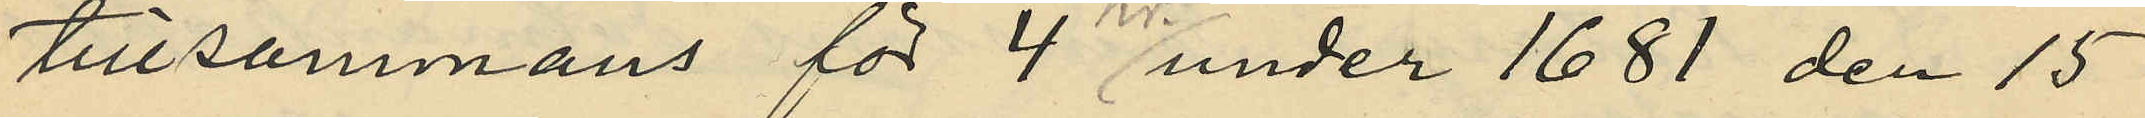tillsammans för 4 kr under 1681 den 15
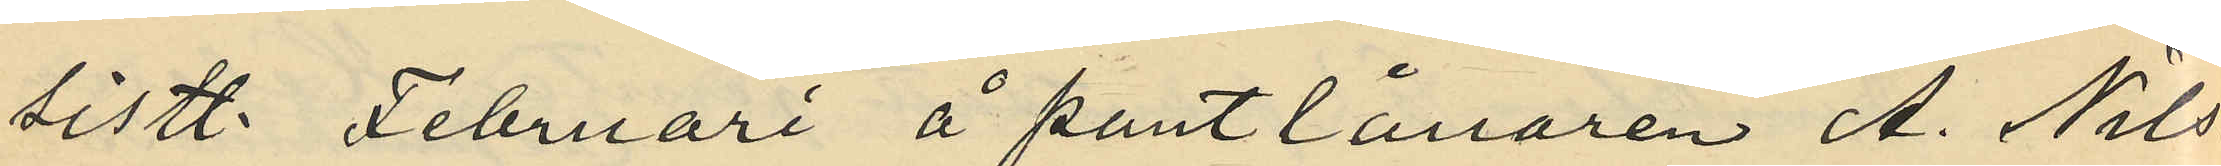sistl. Februari å pantlånaren A. Nils¬
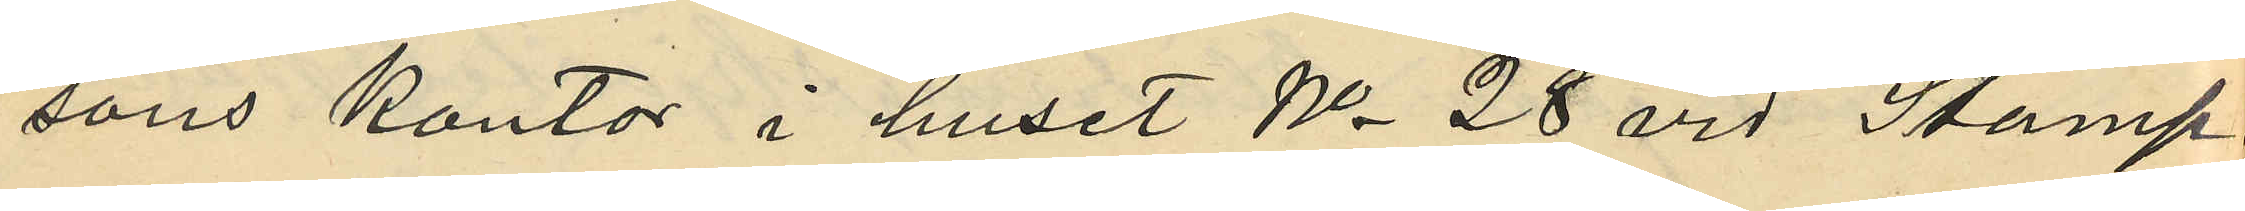sons kontor i huset No 28 vid Stamp¬
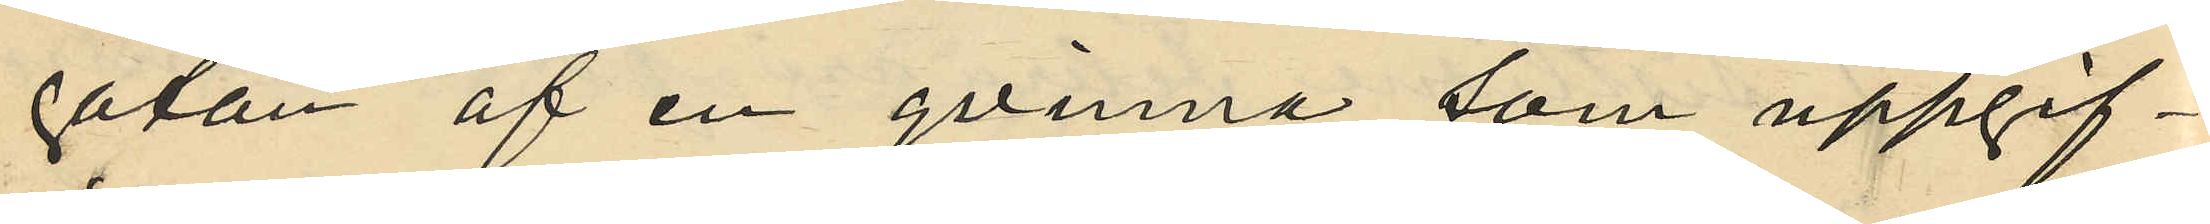gatan af en qvinna som uppgif¬
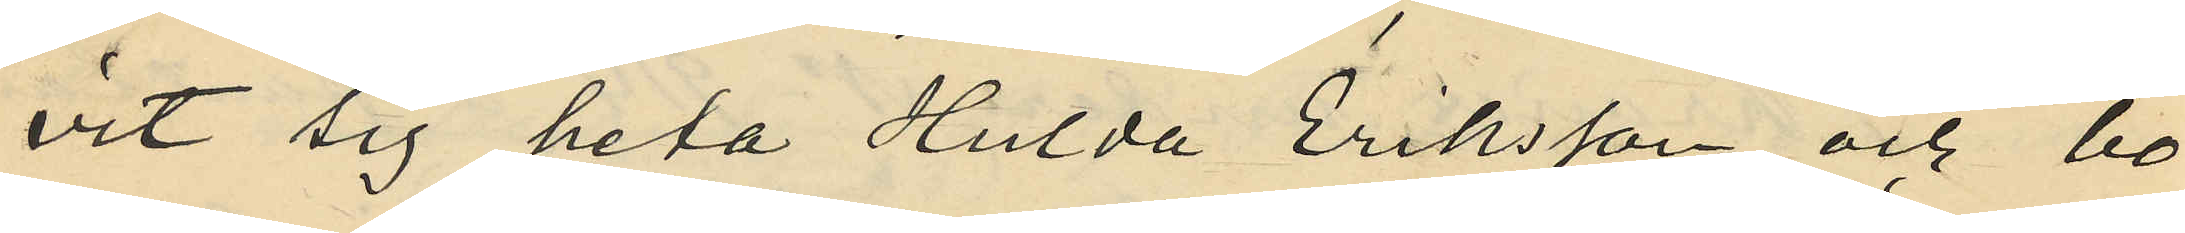vit sig heta Hulda Eriksson och bo
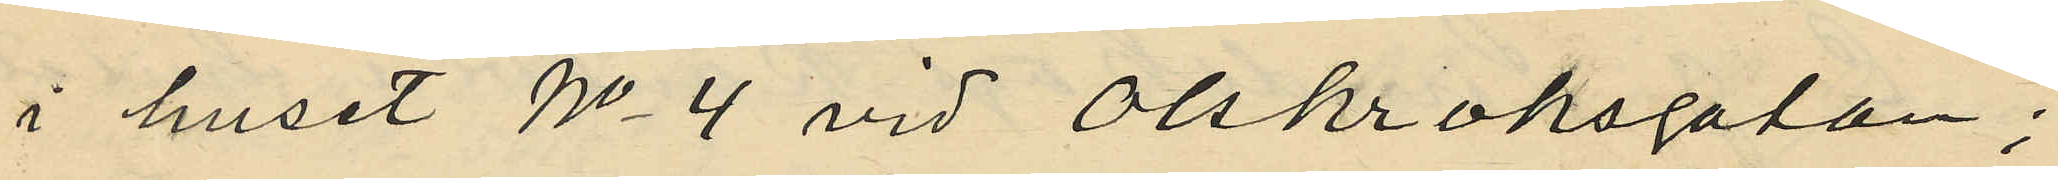i huset No 4 vid Olskroksgatan;
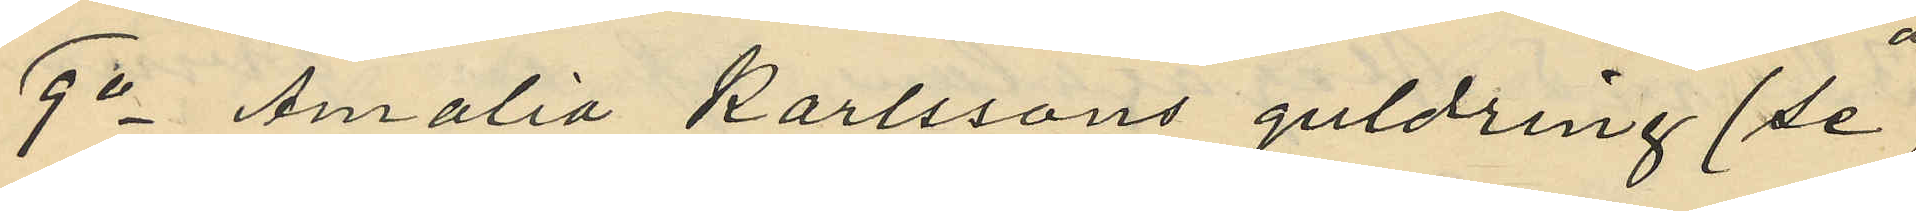9o Amalia Karlssons guldring (se
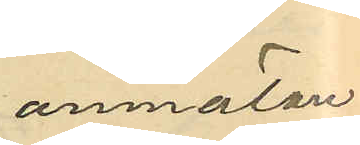anmälan
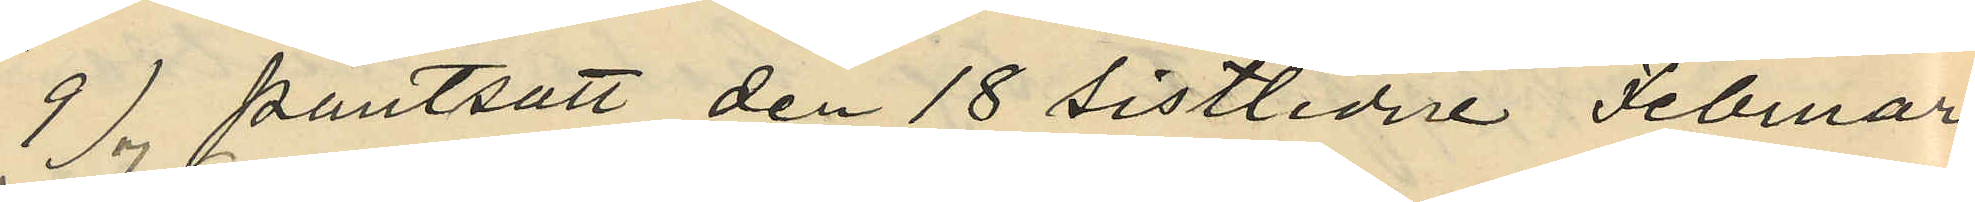9), pantsatt den 18 sistlidne Februari
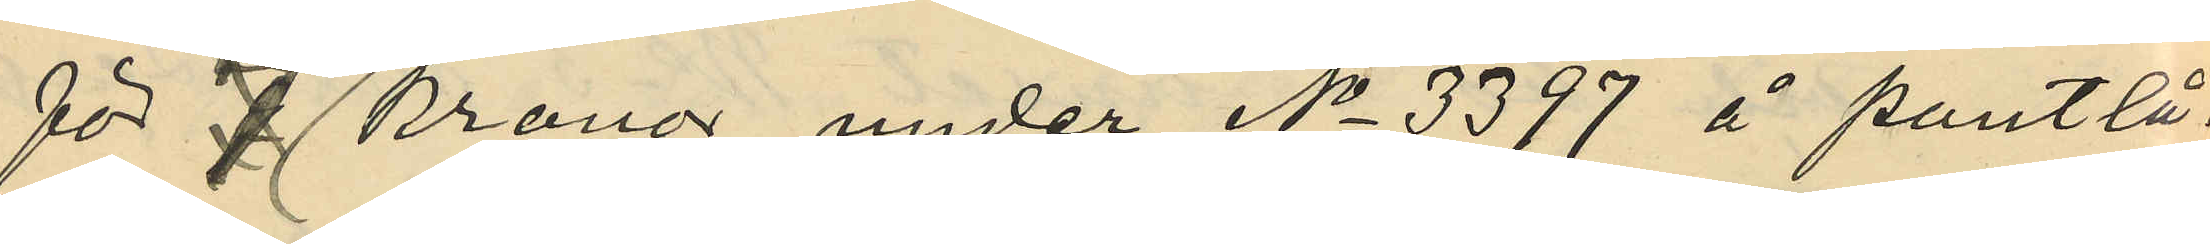för 7 Kronor under No 3397 å pantlå¬
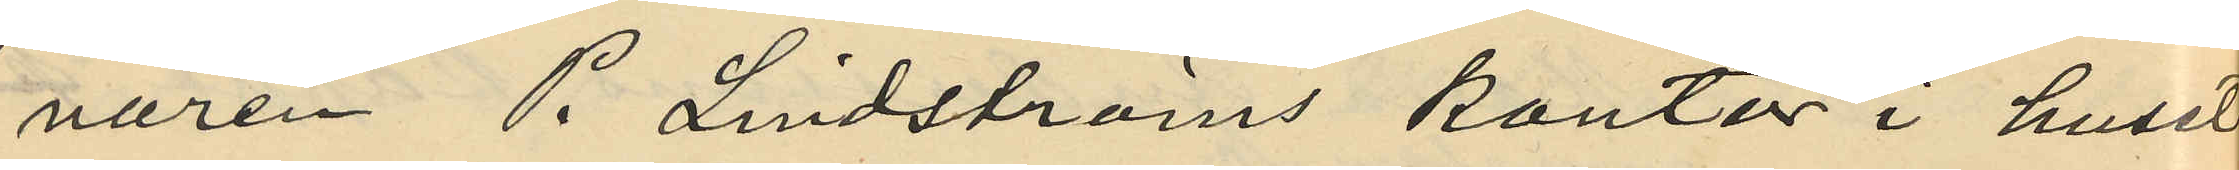naren P Lindströms kontor i huset
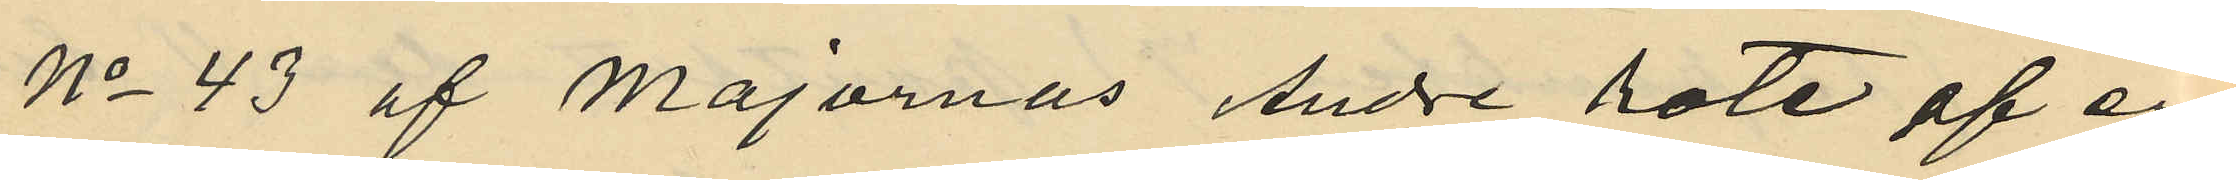No 43 af Majornas Andre rote af en
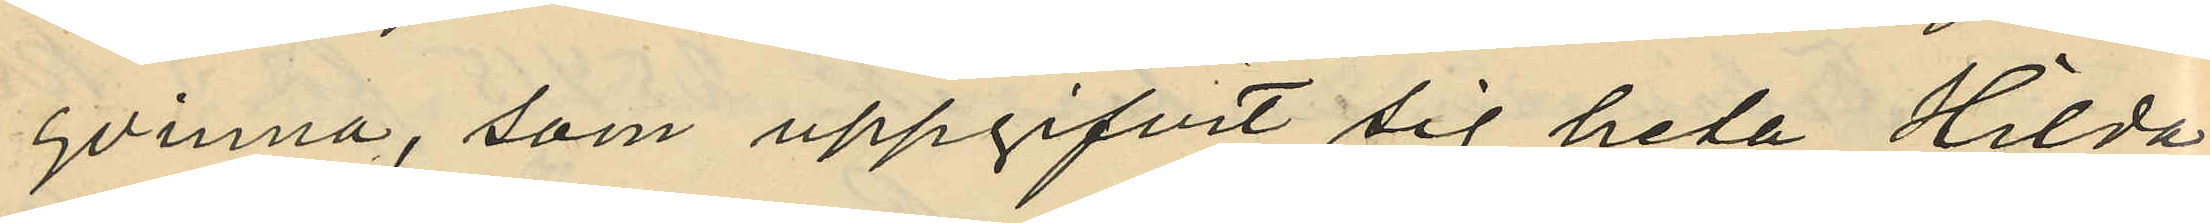qvinna, som uppgifvit sig heta Hilda
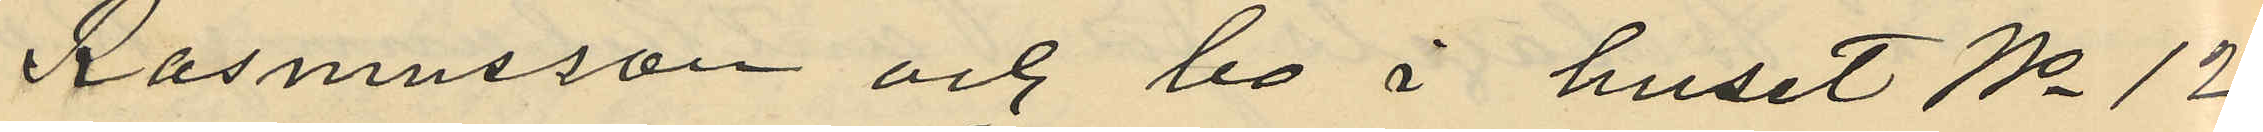Rasmusson och bo i huset No 12
